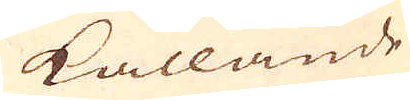kallande
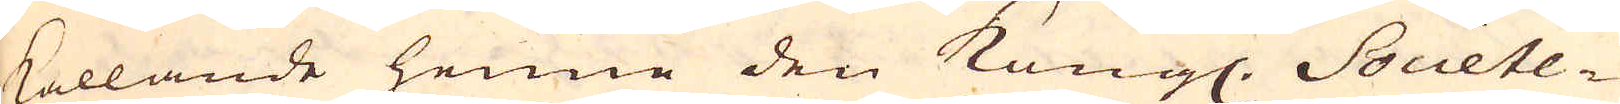kallande henne den Kungl. Societe-
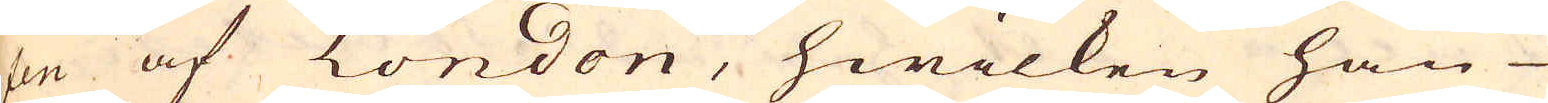ten af London, hwilken han
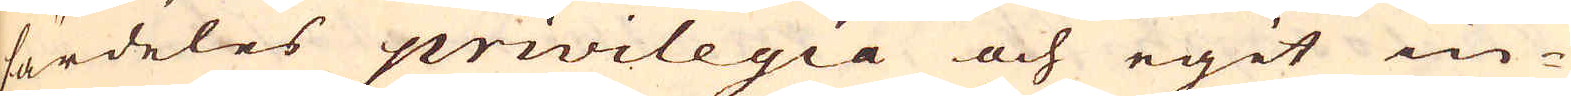särdeles privilegia och egit in-
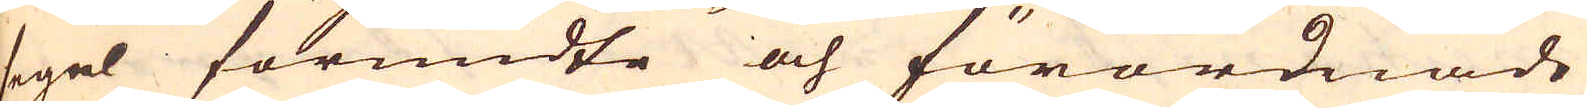segel förundte och förordnade
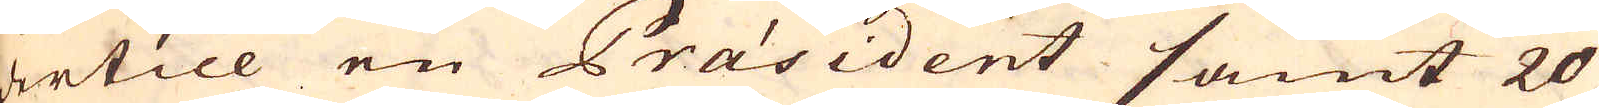dertill en Präsident samt 20
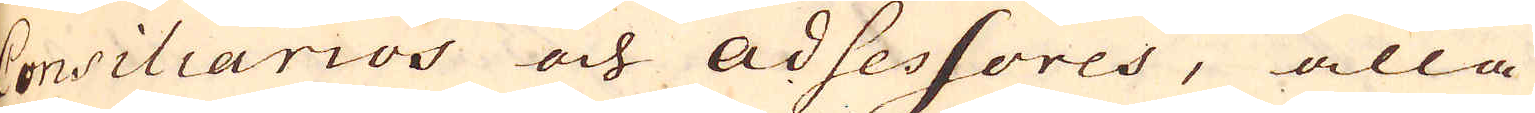Consiliarios och adsessores, alla
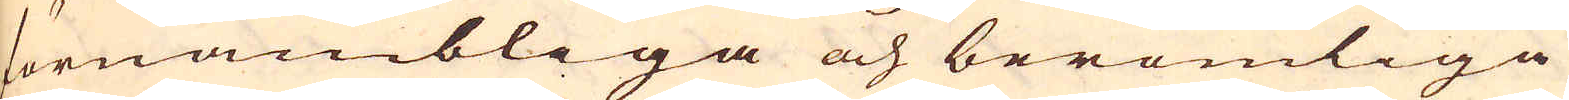förnambliga och berömliga
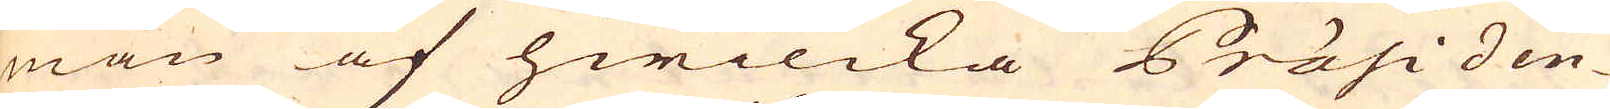män af hwilcka Präsiden-
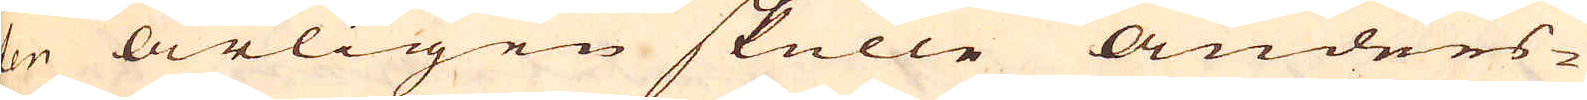ten årligen skulle Anders-
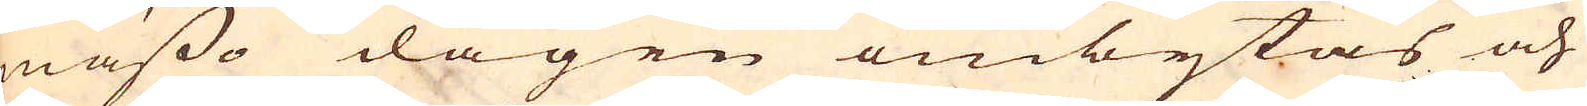mässo dagen ombytas och
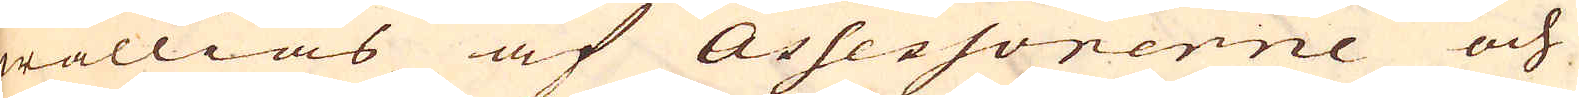wällias af Assessorerne och
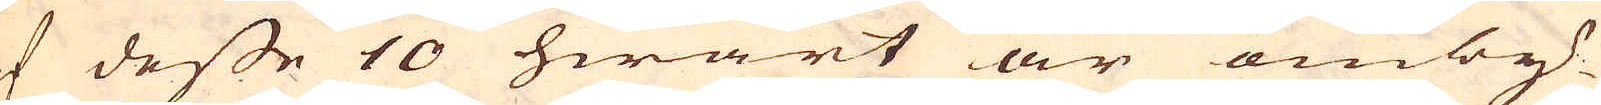af desse 10 hwart år omby-
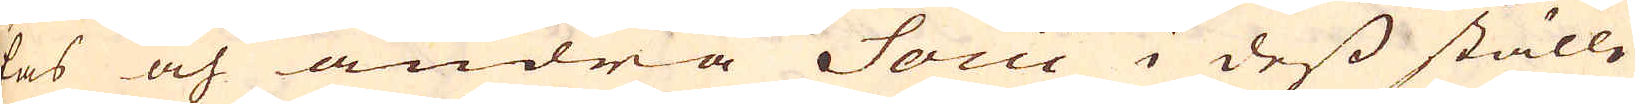tas och andra Socii i dess ställe
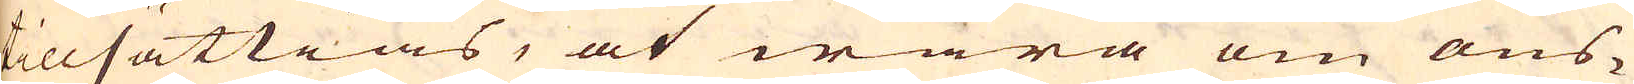tillsättias, at wara om ons-
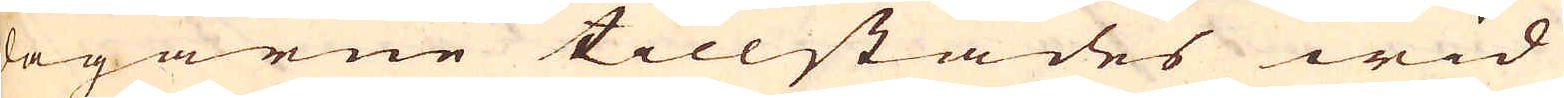dagarne tillstädes wid
